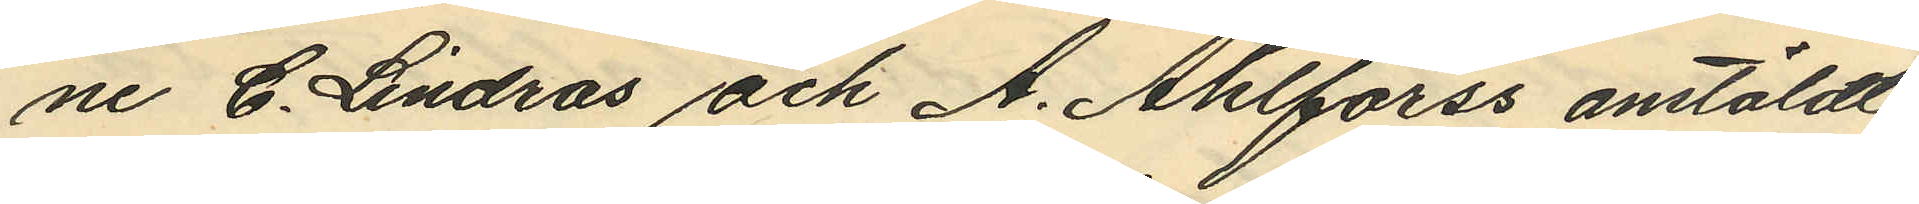ne C. Lindros och A. Ahlforss anstäldt
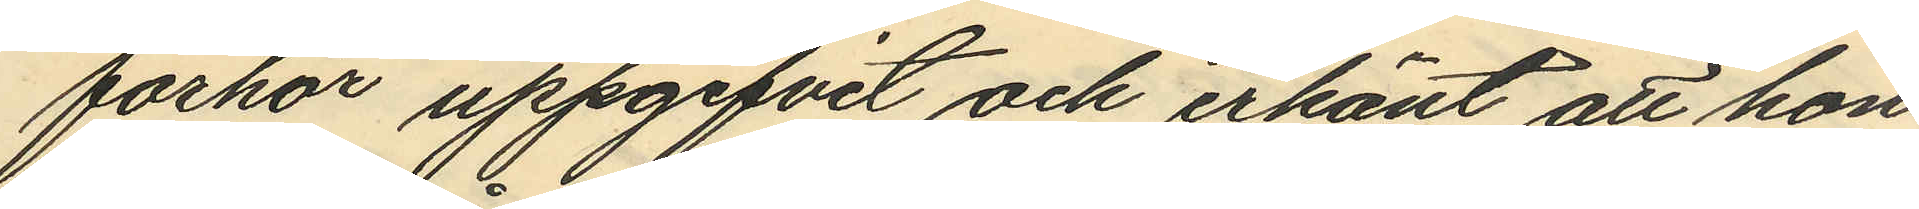förhör uppgifvit och erkänt att hon
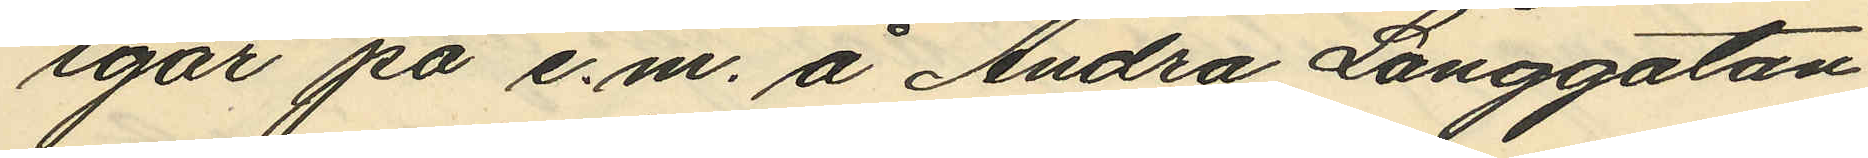igår på e.m. å Andra Långgatan
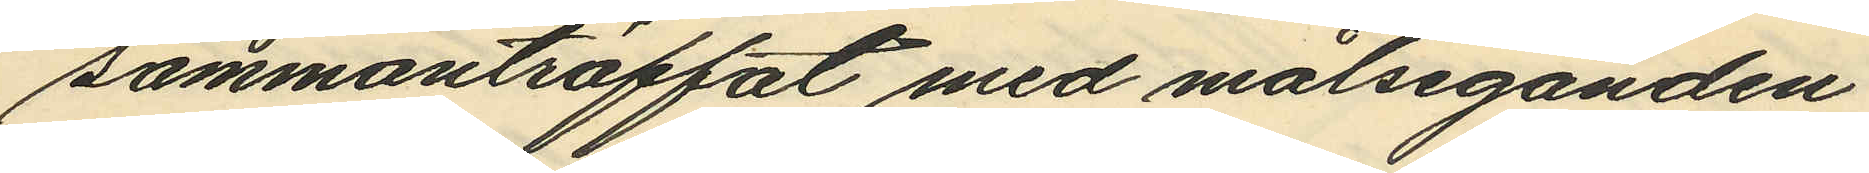sammanträffat med målseganden
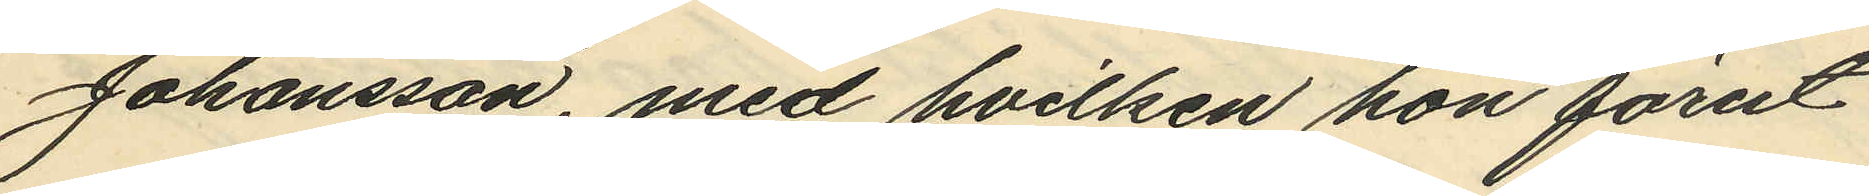Johansson, med hvilken hon förut
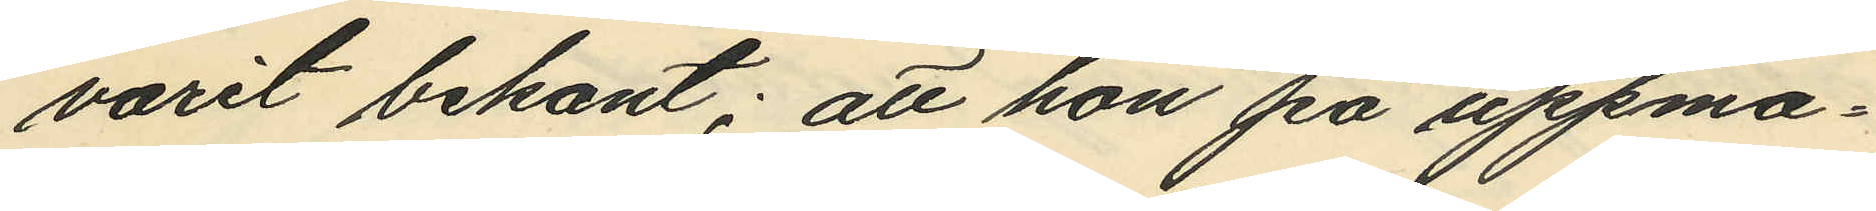varit bekant; att hon på uppma¬
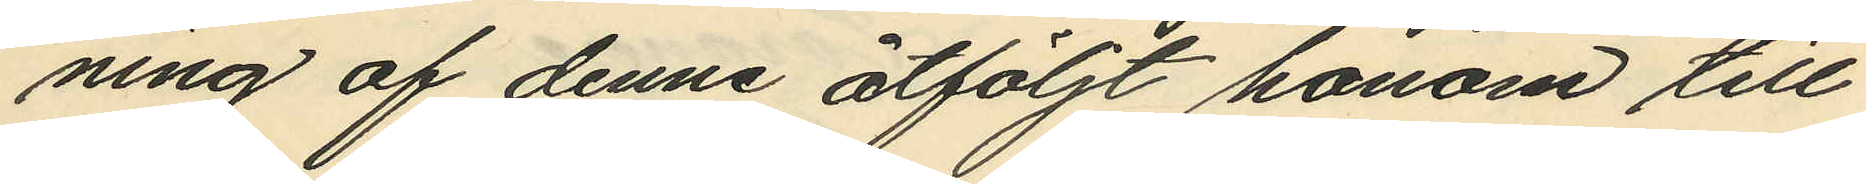ning af denne åtföljt honom till
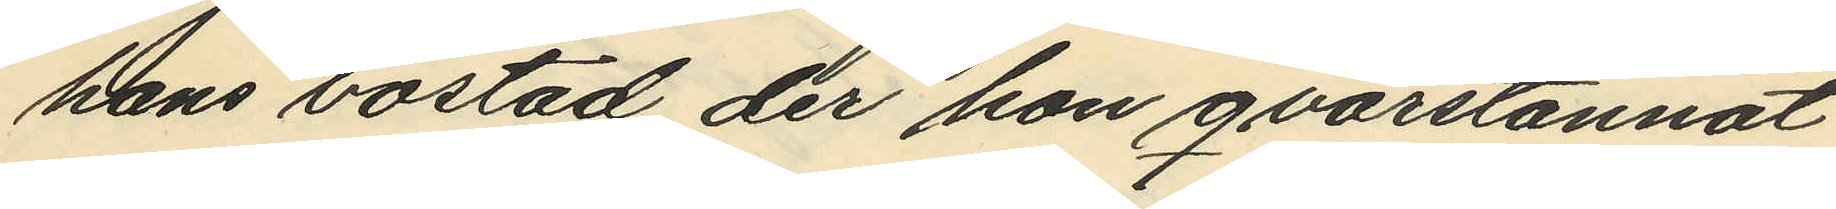hans bostad der hon qvarstannat
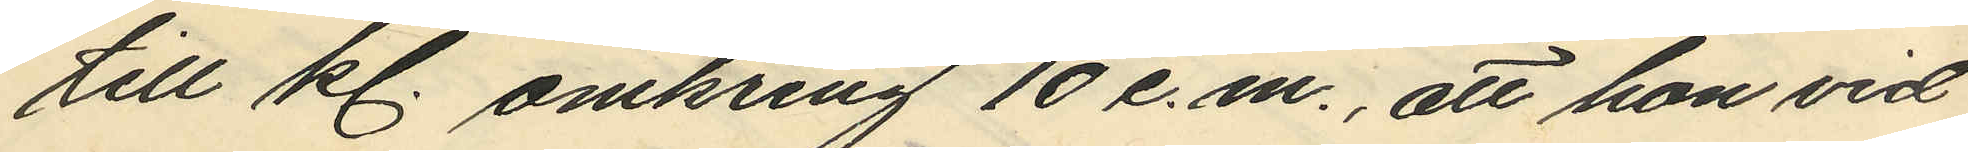till kl. omkring 10 e.m., att hon vid
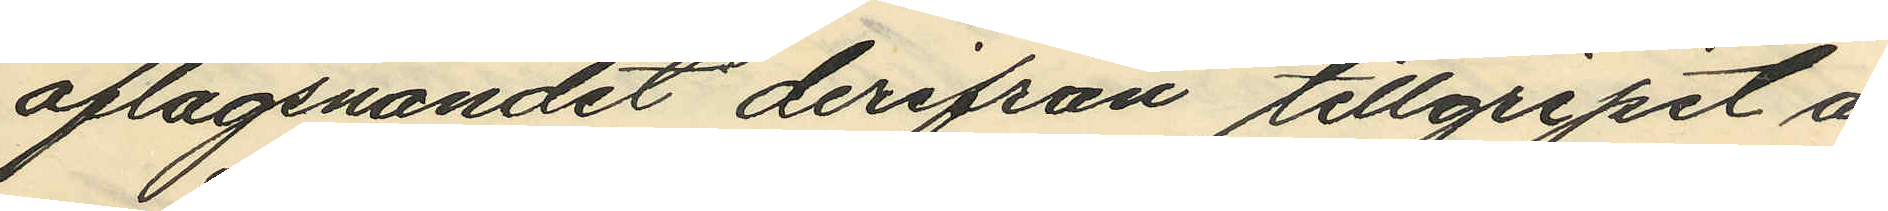aflägsnandet derifrån tillgripit å
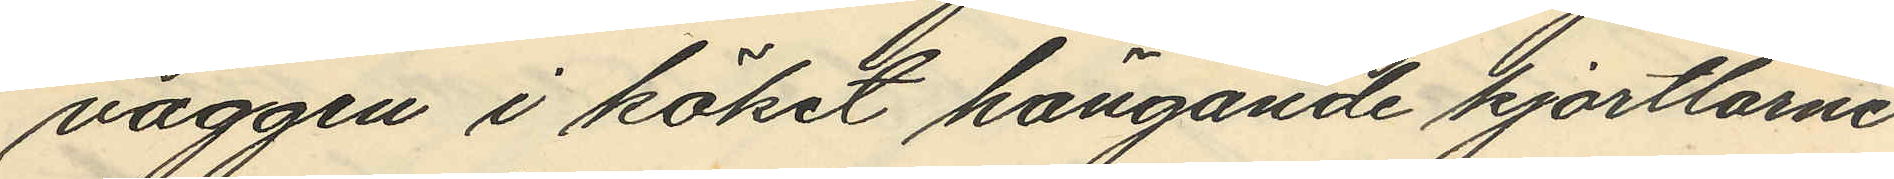väggen i köket hängande kjortlarne
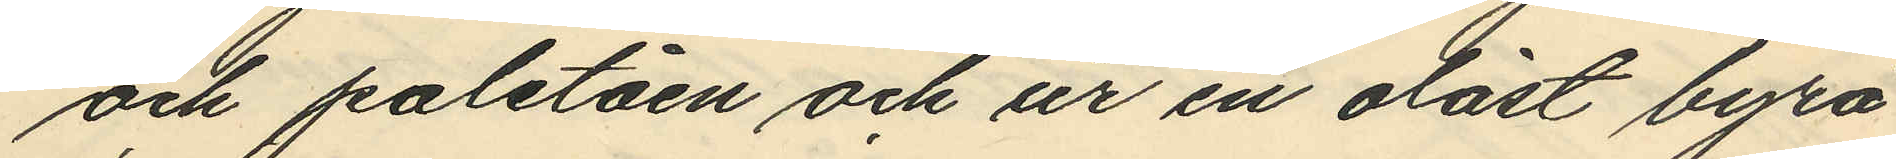och paletåen och ur en olåst byrå
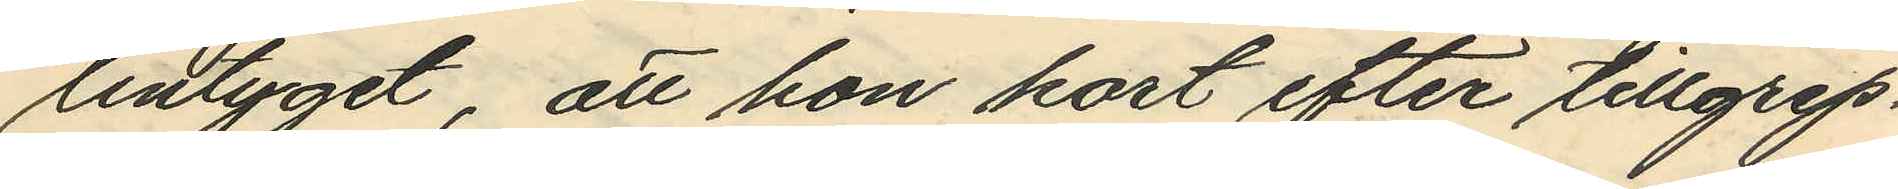lintyget, att hon kort efter tillgrep¬
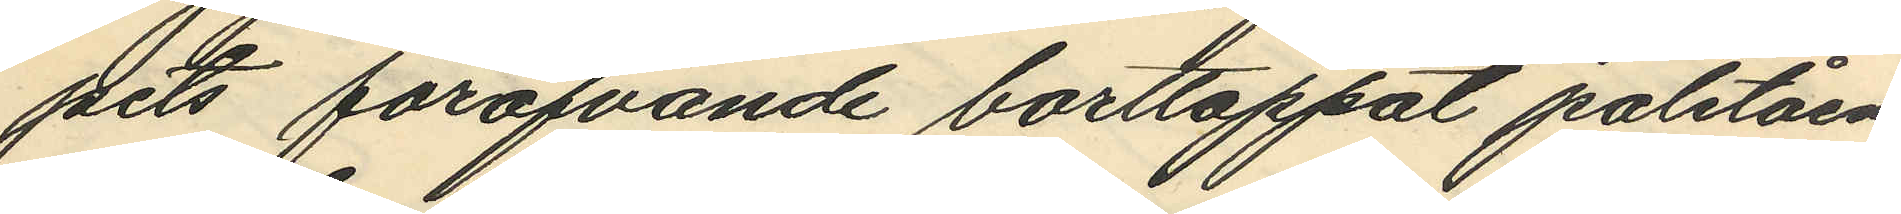pets föröfvande borttappat paletåen,
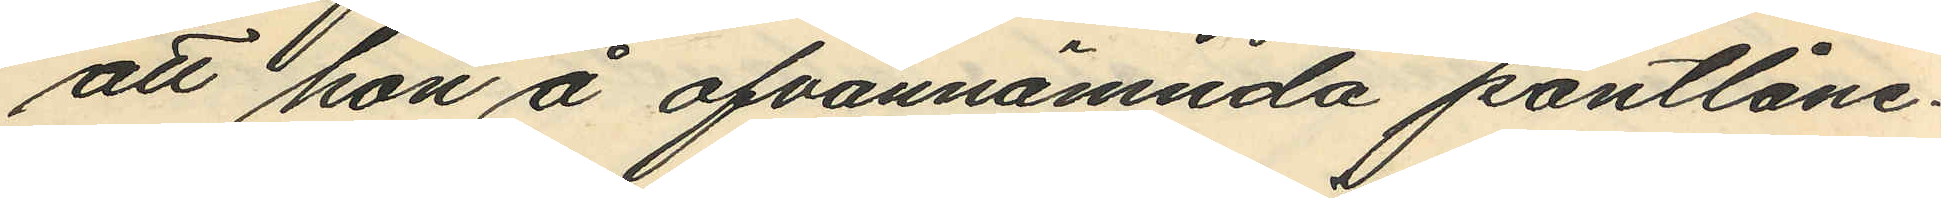att hon å ofvannämnda pantlåne¬
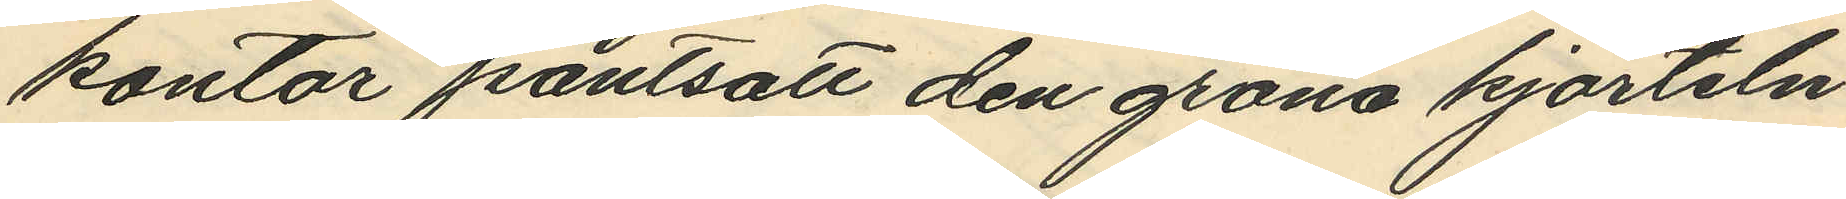kontor pantsatt den gröna kjorteln
